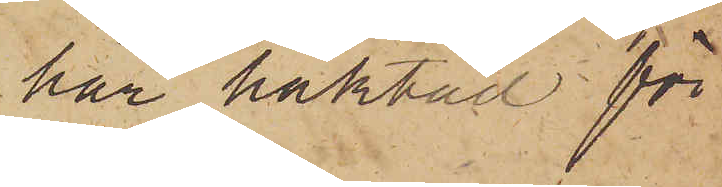har häktad för
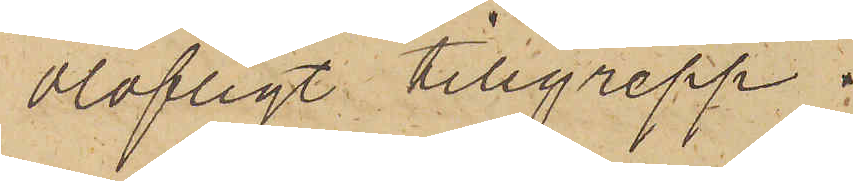olofligt tillgrepp.
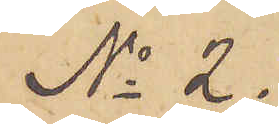No 2.
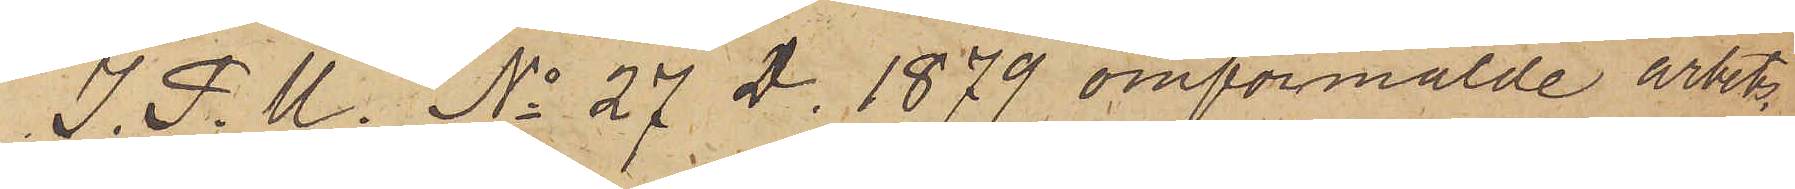I. P. U. No 27 D. 1879 omförmälde arbets¬
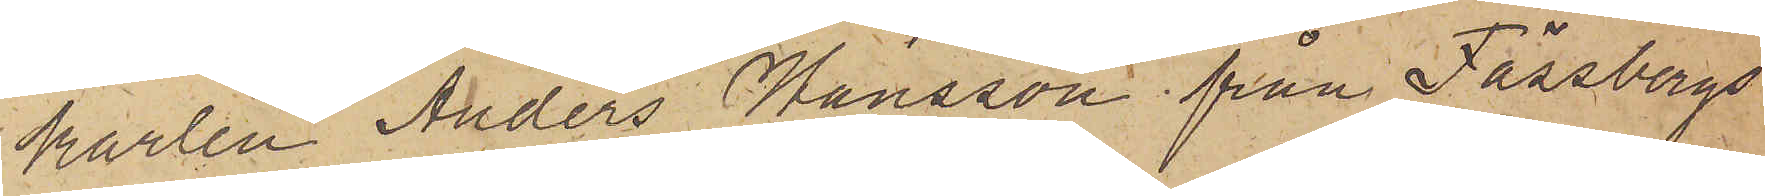karlen Anders Hansson från Fässbergs
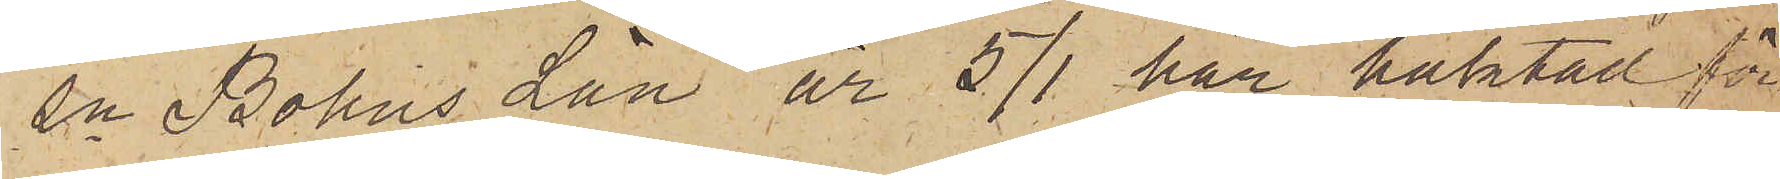sn Bohus Län är 5/1 här häktad för
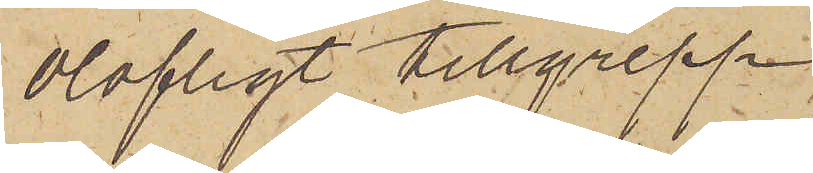olofligt tillgrepp.
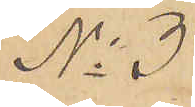No 3
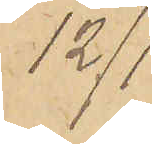12/1
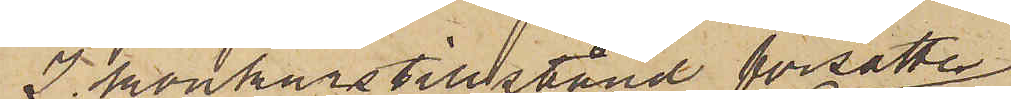I konkurstillstånd försatte
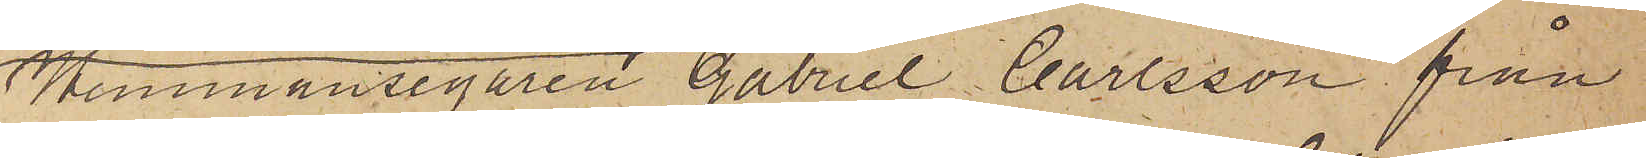Hemmansegaren Gabriel Carlsson från
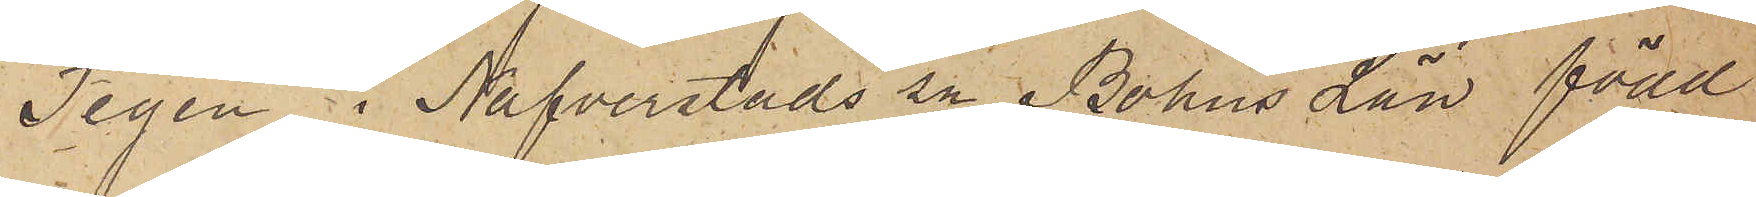Tegen i Nafverstads sn Bohus Län född
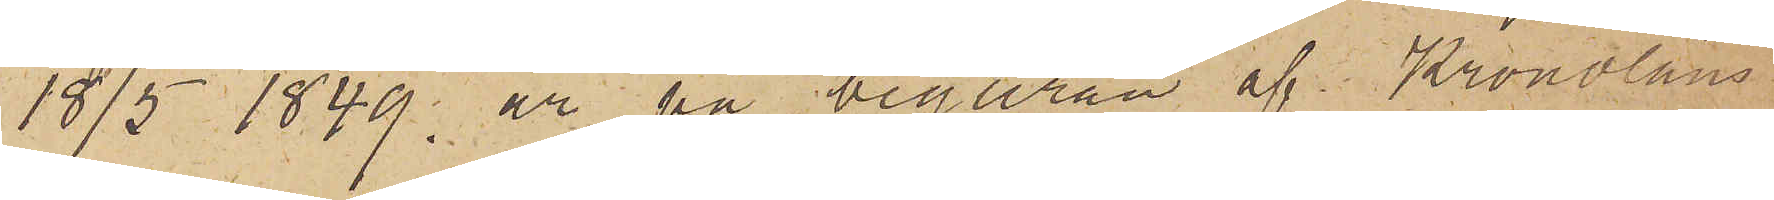18/5 1849 är på begäran af Kronoläns¬
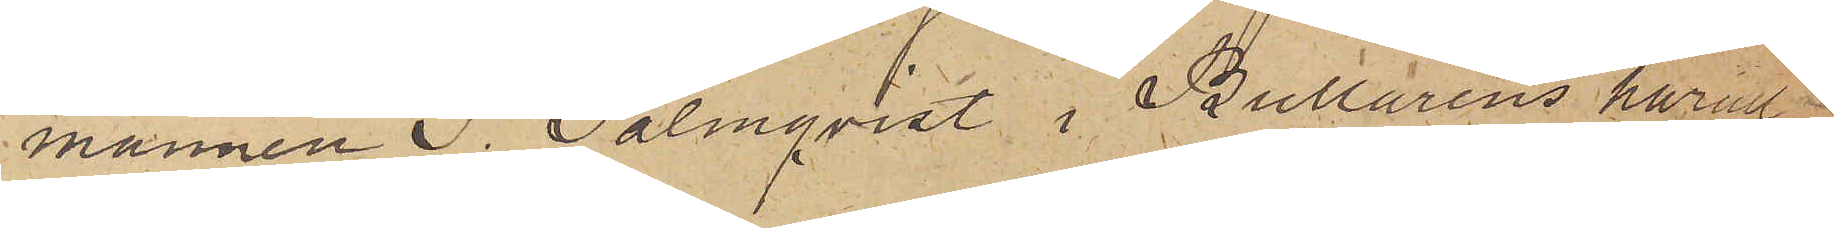mannen S. Palmqvist i Bullarens härad
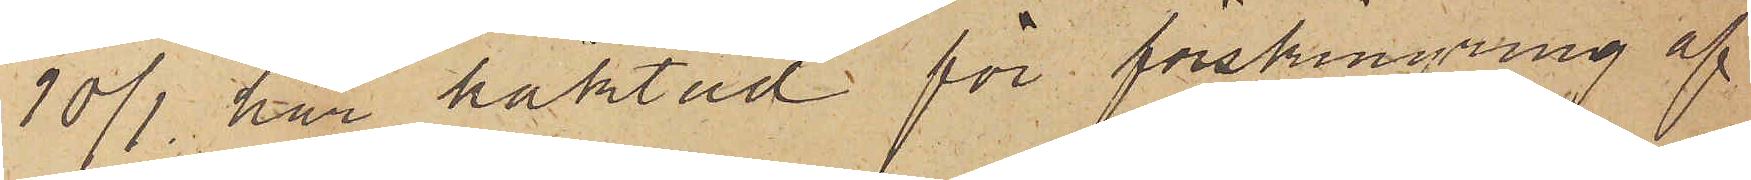10/1 här häktad för förskingring af
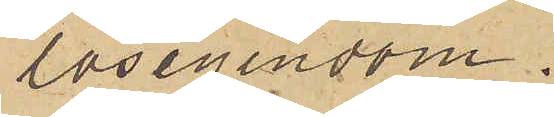lösegendom.
